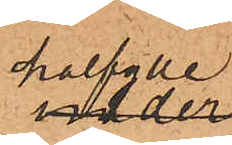halfylle¬
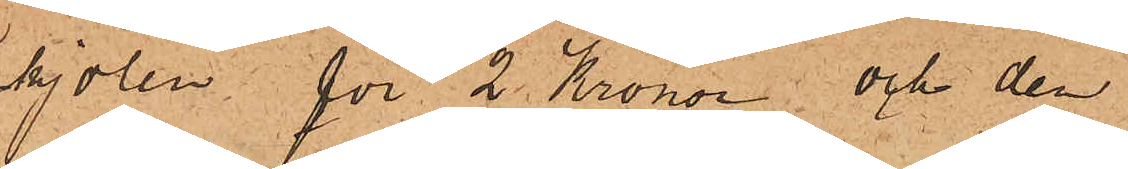kjolen för 2 Kronor; och den
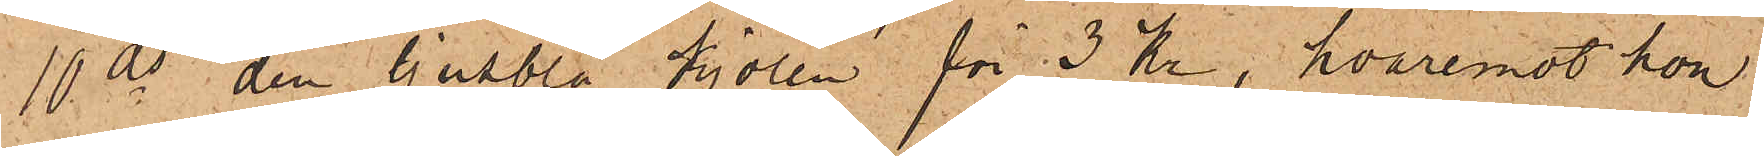10 ds den ljusblå kjolen för 3 Kr, hvaremot hon
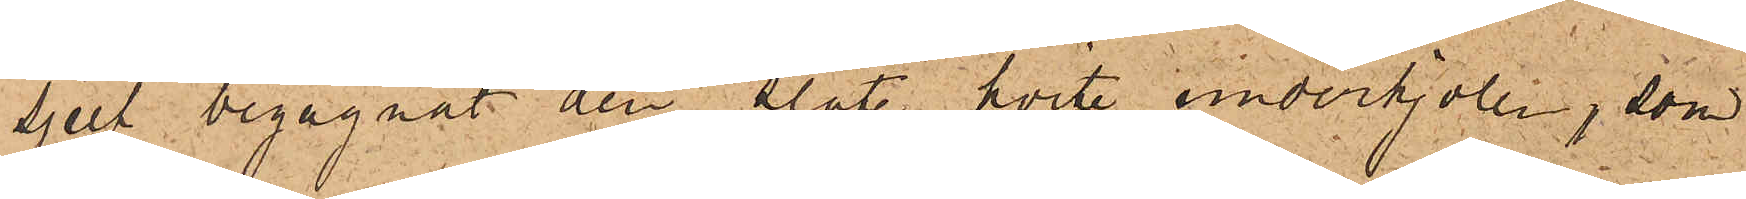sjelf begagnat den släte hvite underkjolen, som
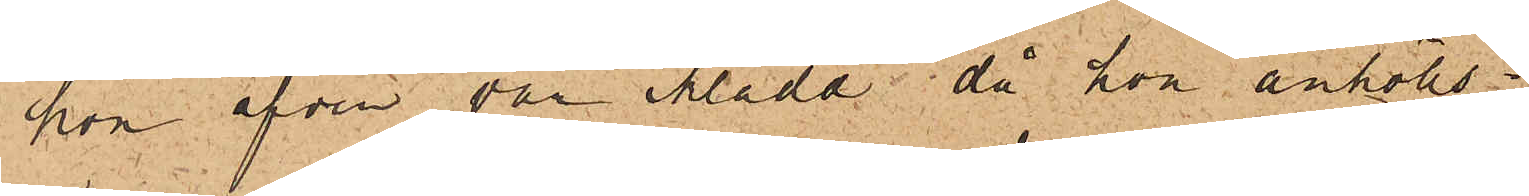hon äfven var iklädd, då hon anhölls.
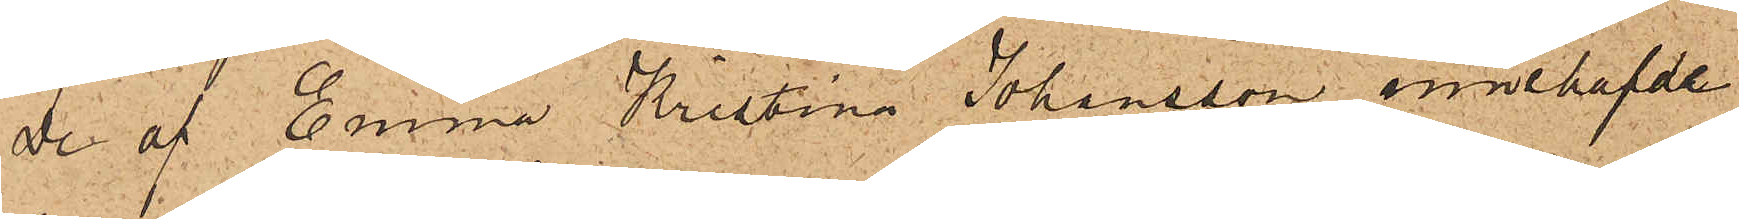De af Emma Kristina Johansson innehafvde
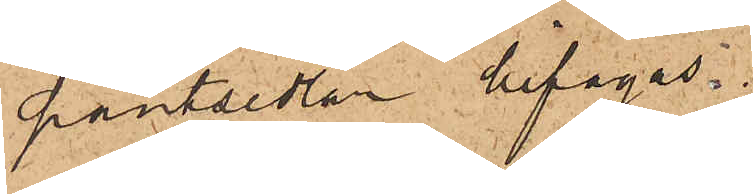pantsedlar bifogas.
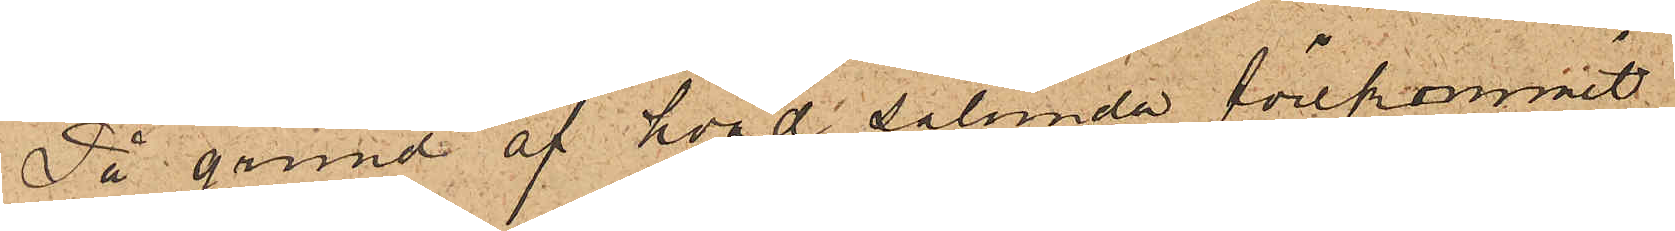På grund af hvad sålunda förekommit,
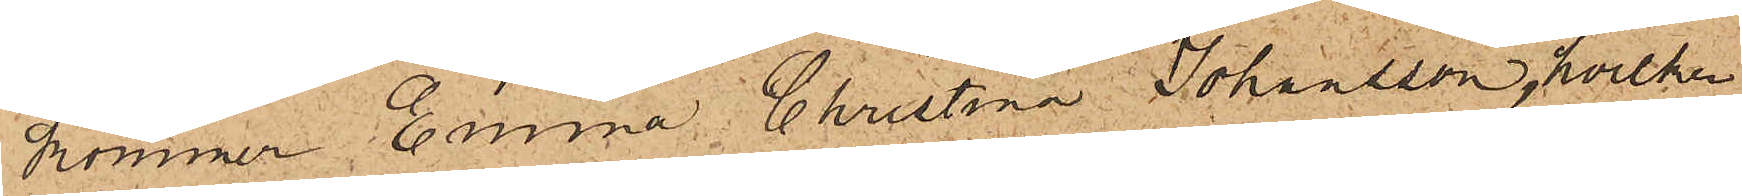kommer Emma Christina Johansson, hvilken
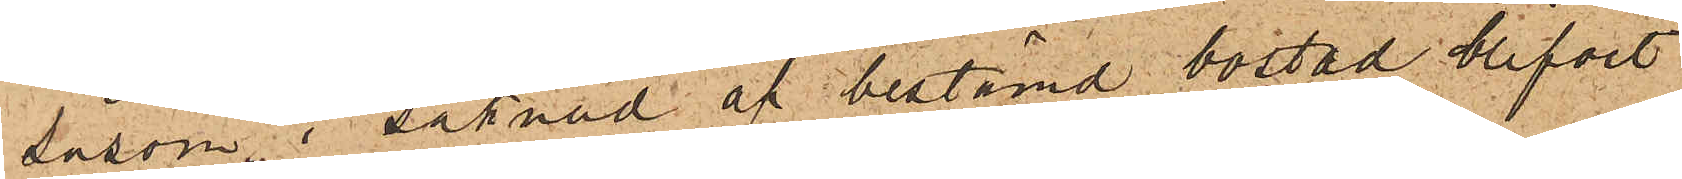såsom i saknad af bestämd bostad blifvit
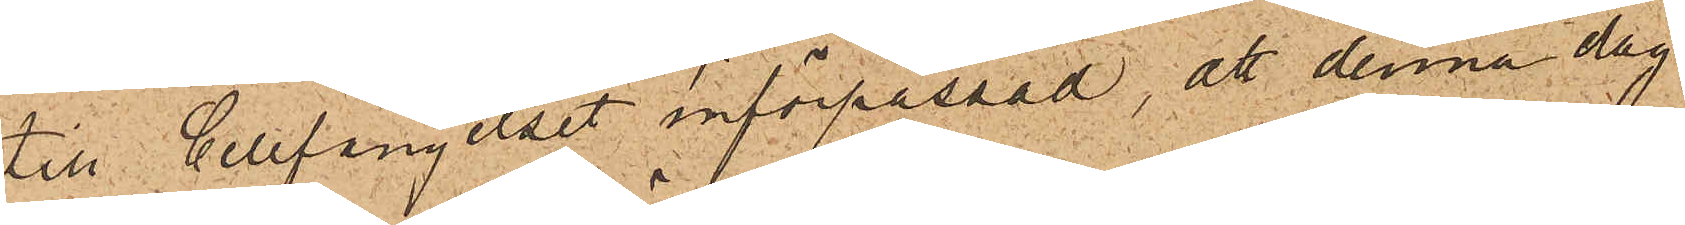till Cellfängelset införpassad, att denna dag
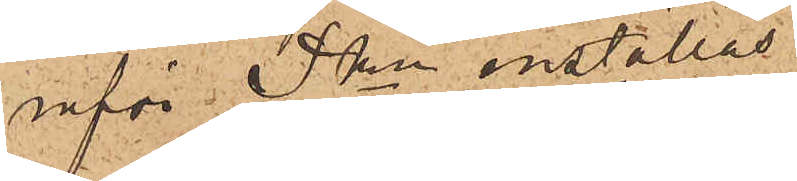inför Pkn inställas.
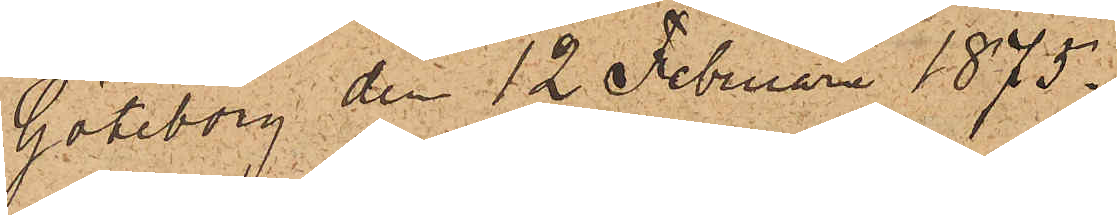Göteborg den 12 Februari 1875.
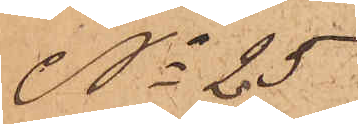No 25
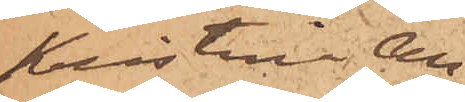Kristina An¬
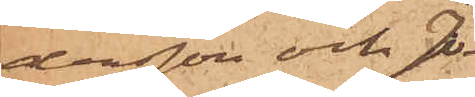dersson och Jo¬
